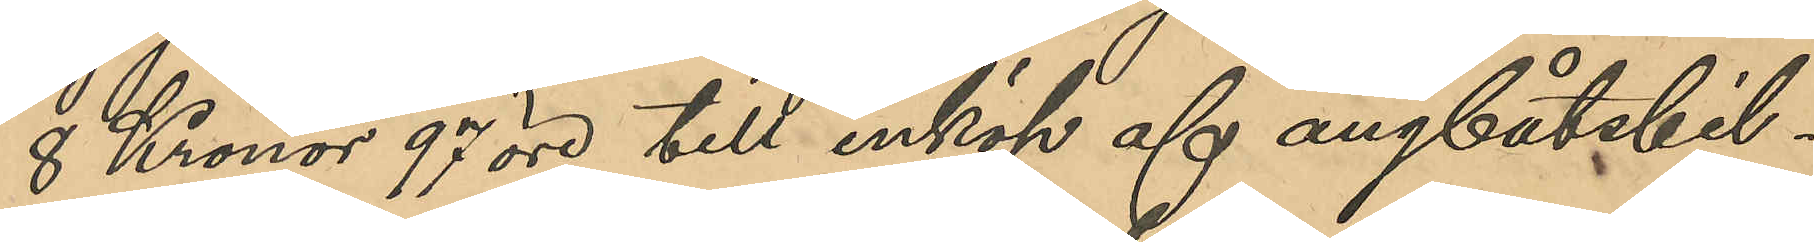8 Kronor 97 öre till inköp af ångbåtsbil¬
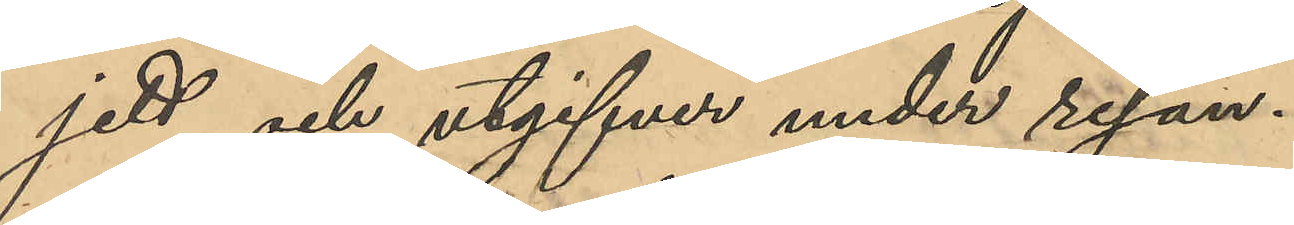jett och utgifter under resan.
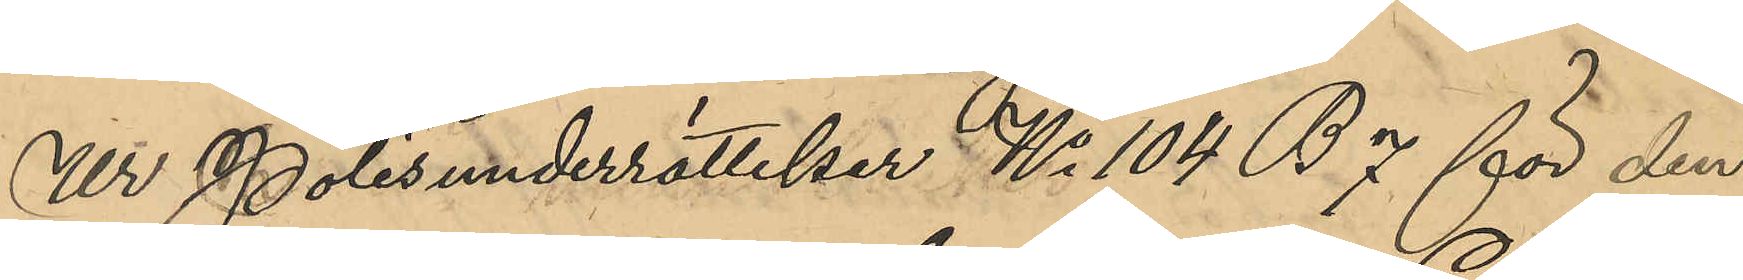Ur Polisunderrättelser No 104 B 7 för den
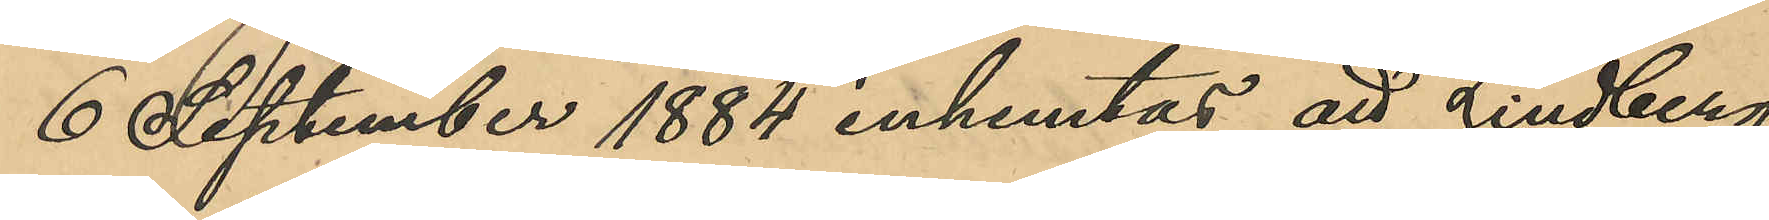6 September 1884 inhemtas att Lindberg
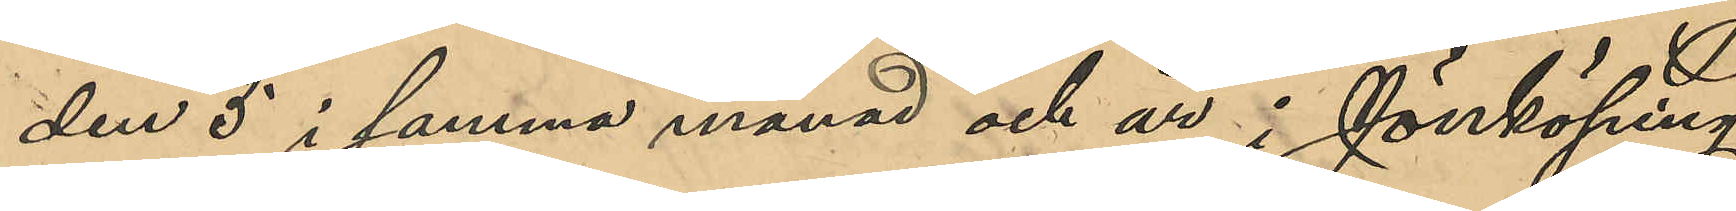den 5 i samma månad och år i Jönköping
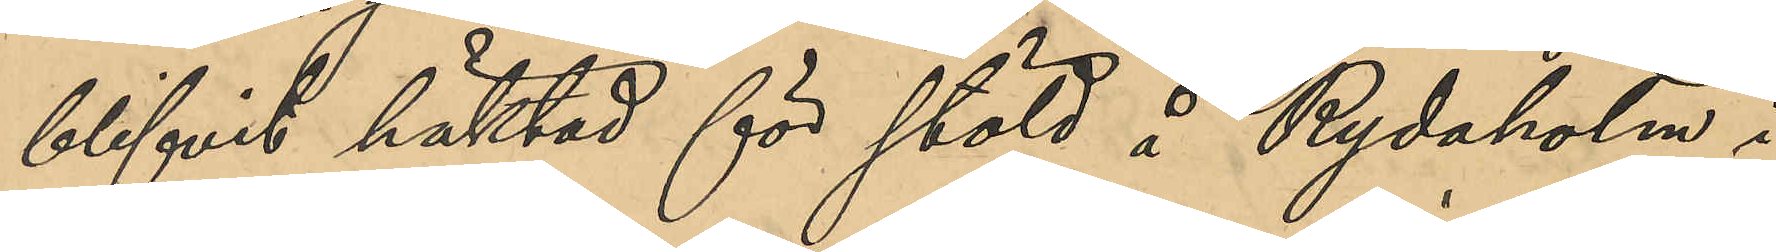blifvit häktad för stöld å Rydaholm i
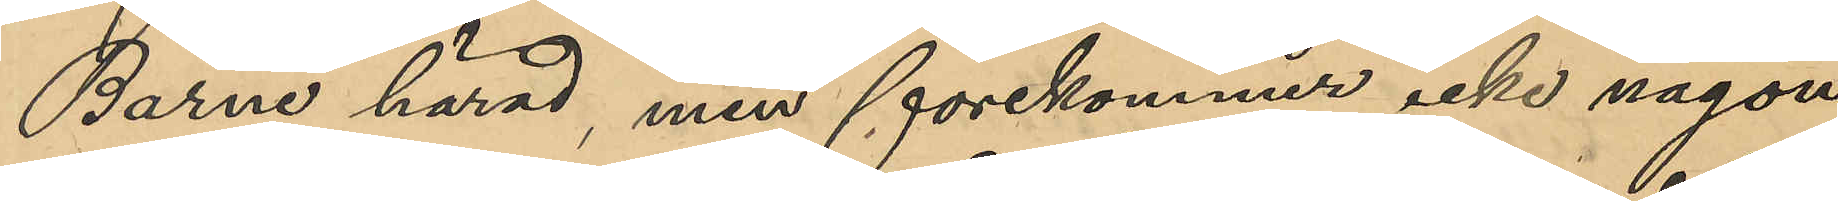Barne härad, men förekommer icke någon
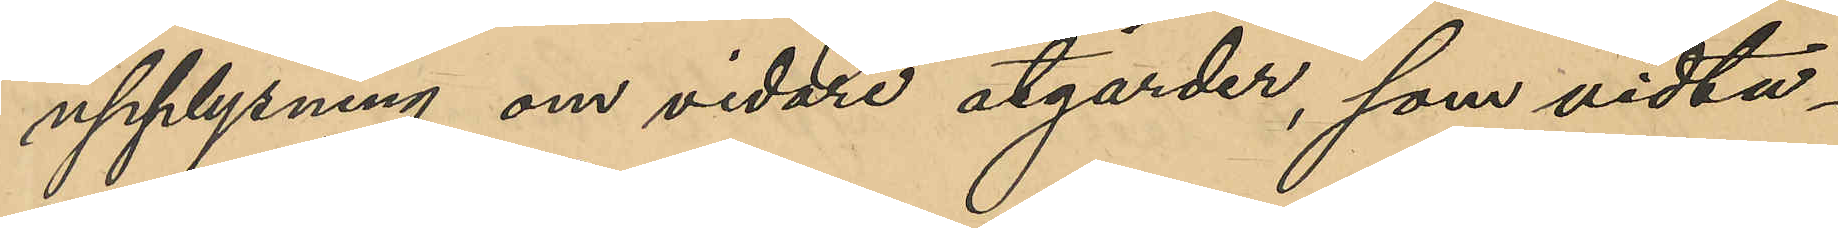upplysning om vidare åtgärder, som vita¬
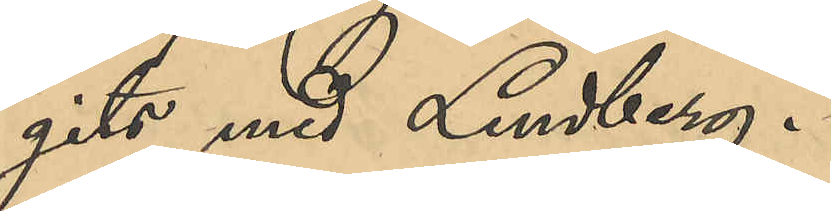gits med Lindberg.
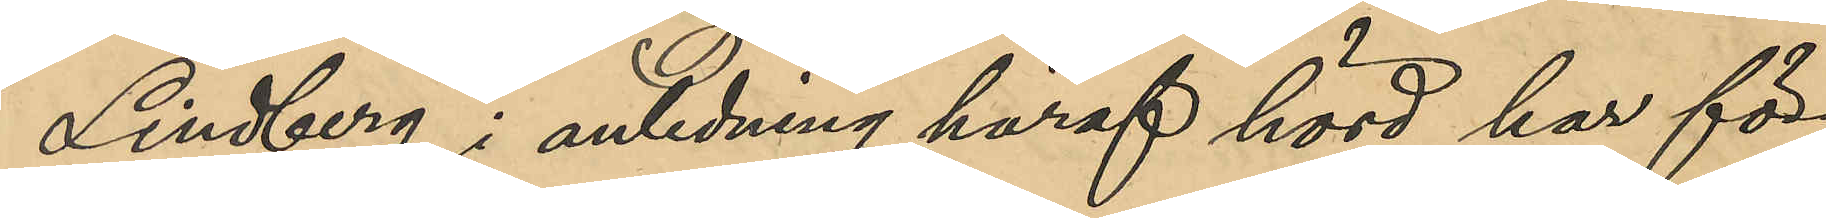Lindberg i anledning häraf hörd har för¬
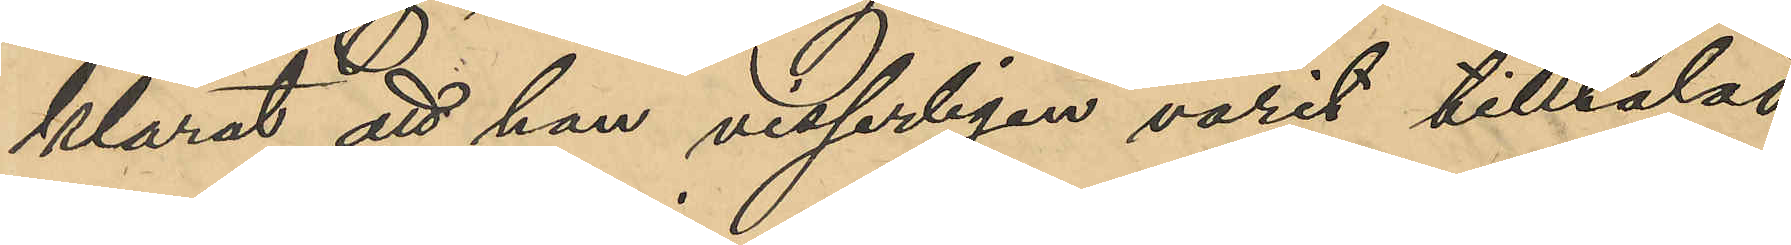klarat att han visserligen varit tilltalad
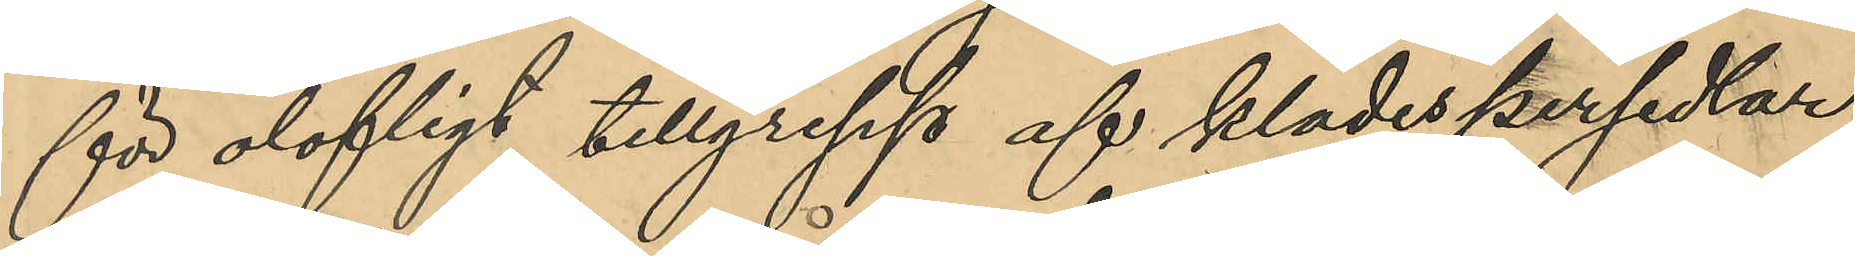för olofligt tillgrepp af klädespersedlar,
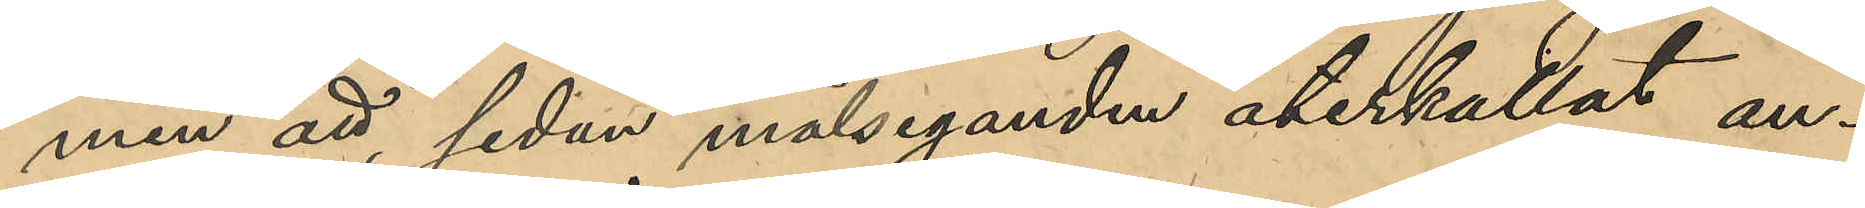men att sedan målseganden återkallat an¬
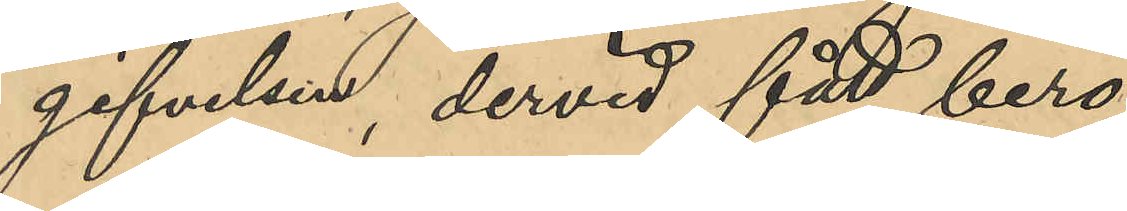gifvelsen, dervid fått bero.
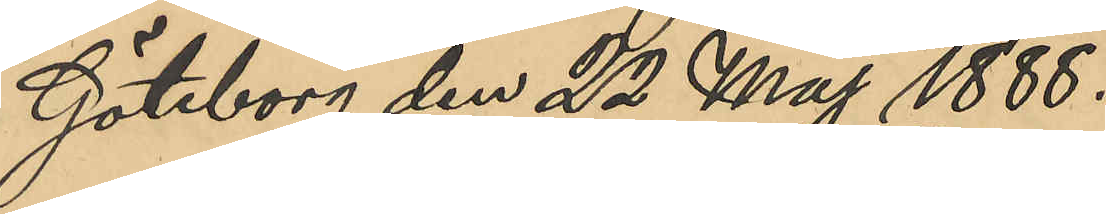Göteborg den 22 maj 1888.
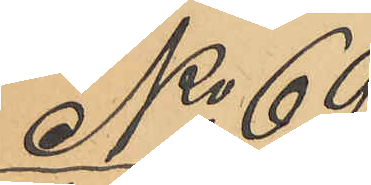No 69
